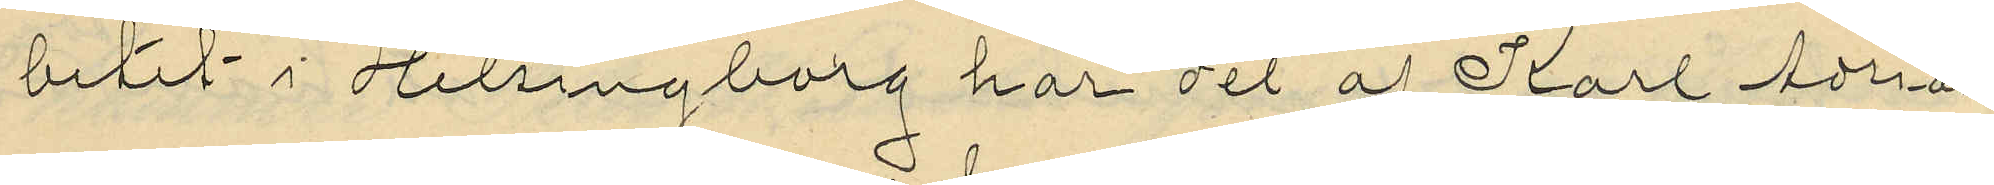betet i Helsingborg har det af Karl Adrian
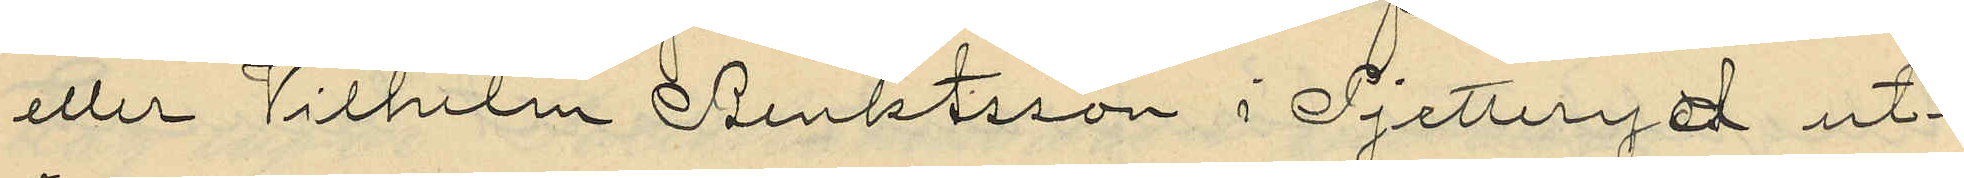eller Vilhelm Benktsson i Pjetteryd ut¬
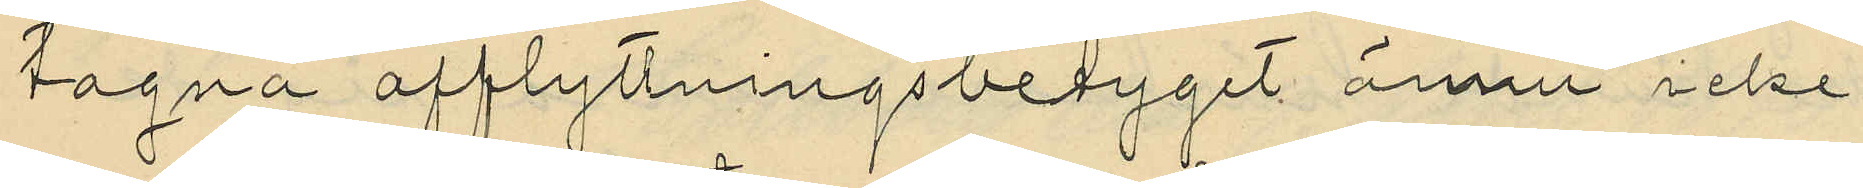tagna afflyttningsbetyget ännu icke
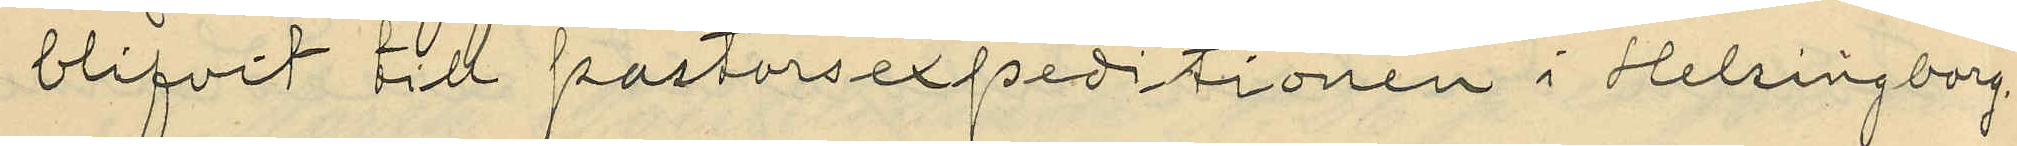blifvit till postorsexpeditionen i Helsingborg
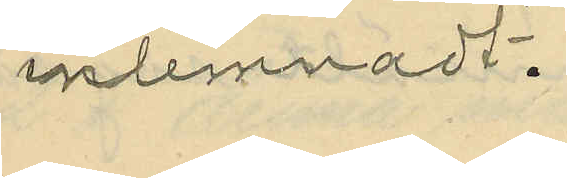inlemnadt.
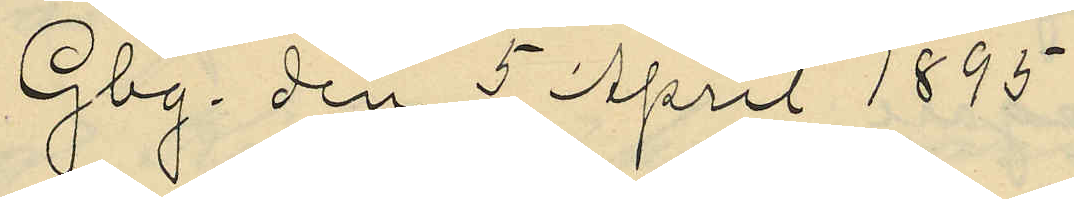Gbg. den 5 April 1895.
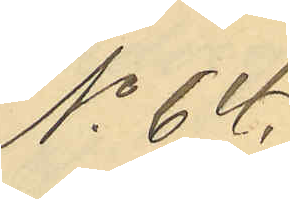No 64.
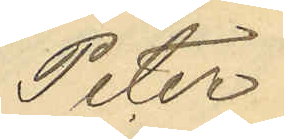Peter
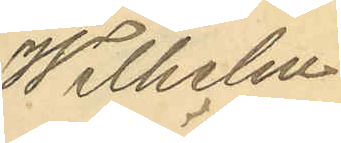Wilhelm
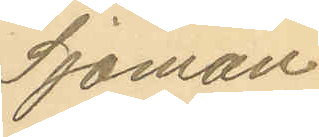Sjöman
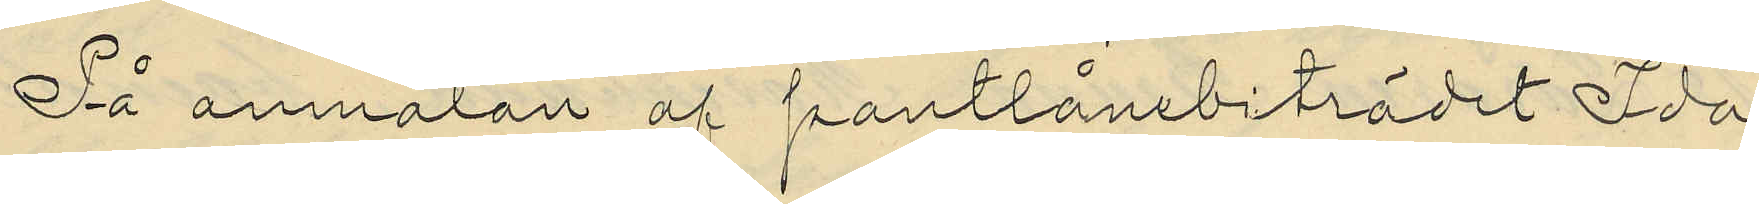På anmälan af pantlånebiträdet Ida
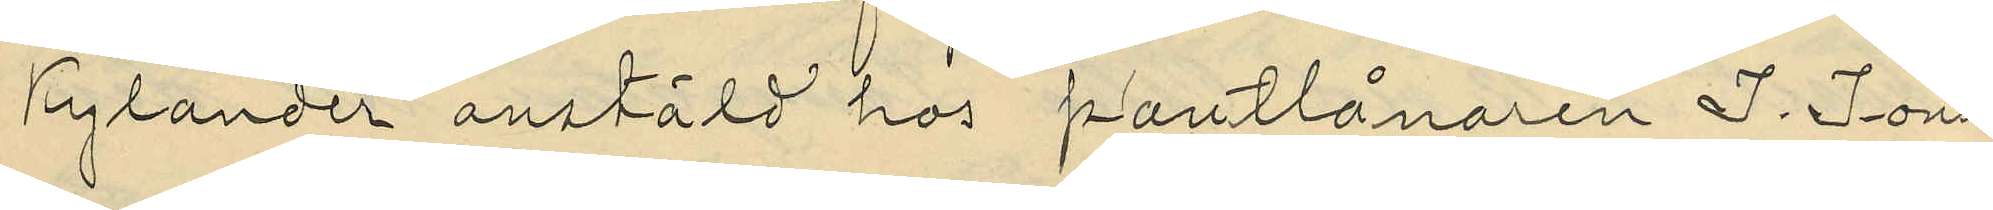Kylander anstäld hos pantlånaren J. Jons¬
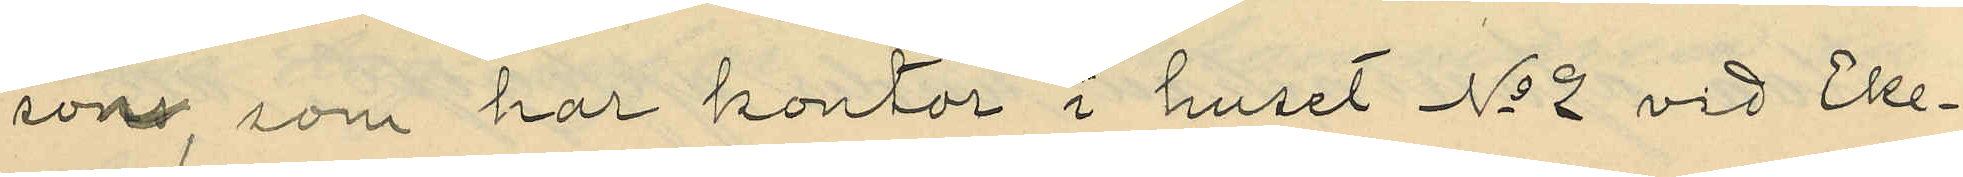son som har kontor i huset No 2 vid Eke¬
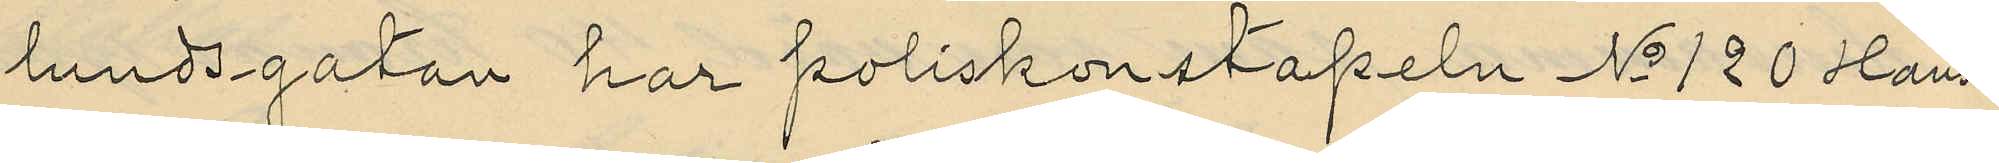lundsgatan har poliskonstapeln No 120 Hans¬
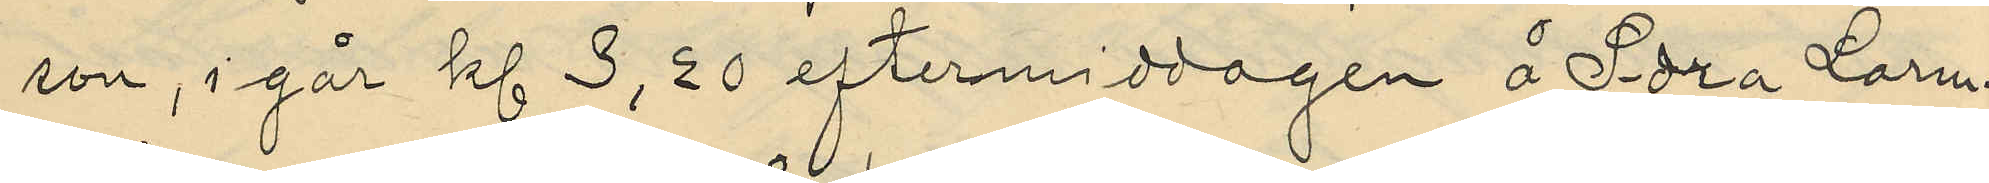son, i går kl 3,30 eftermiddagen å Södra Larm¬
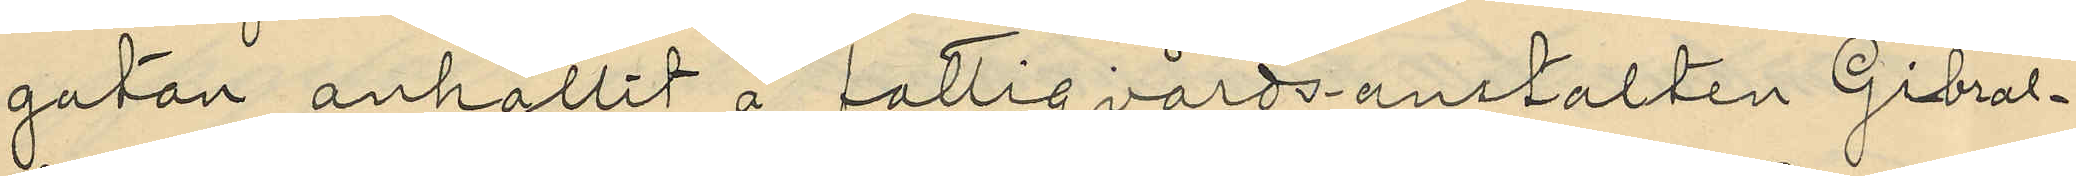gatan anhållit å fattigvårdsanstalten Gibral¬
